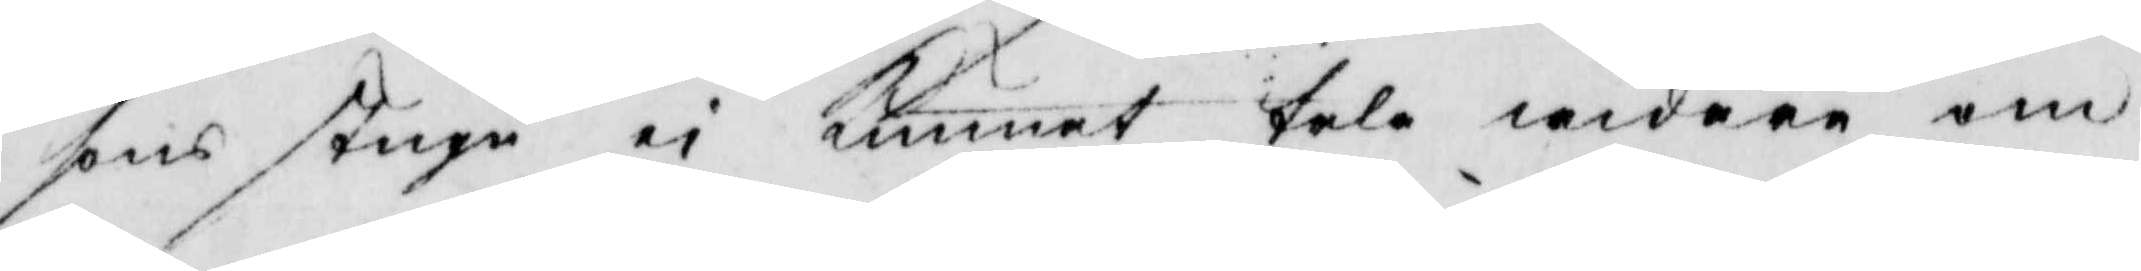sons stugu ei kunnat tala widare om
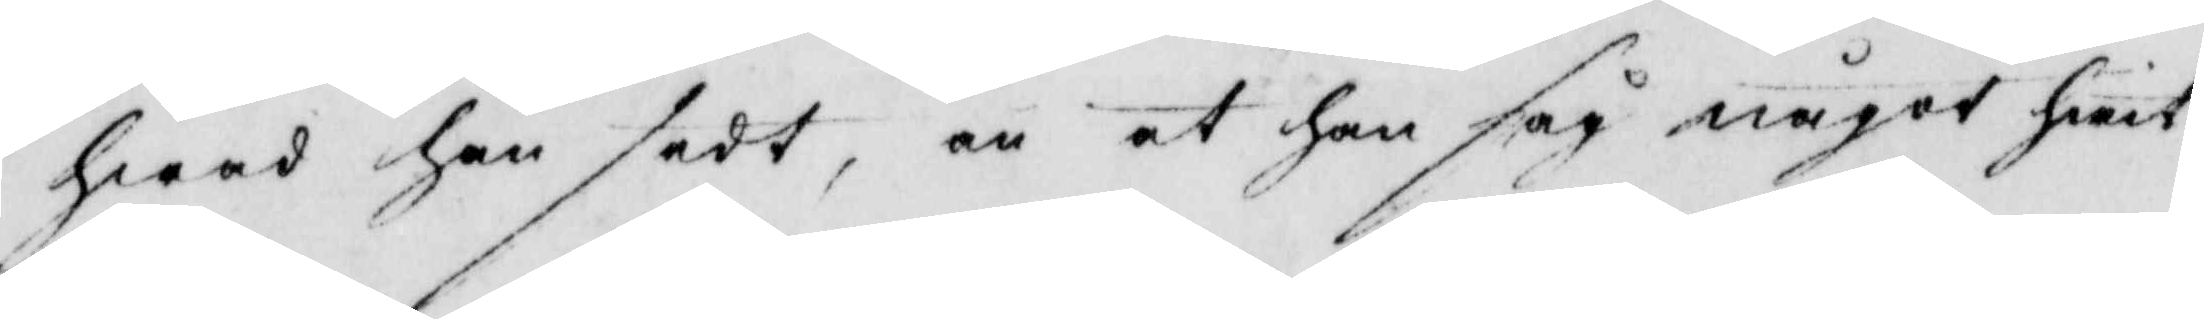hwad han sedt, än at han såg något hwit
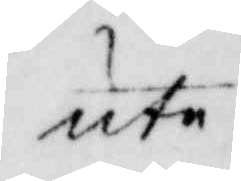ute.
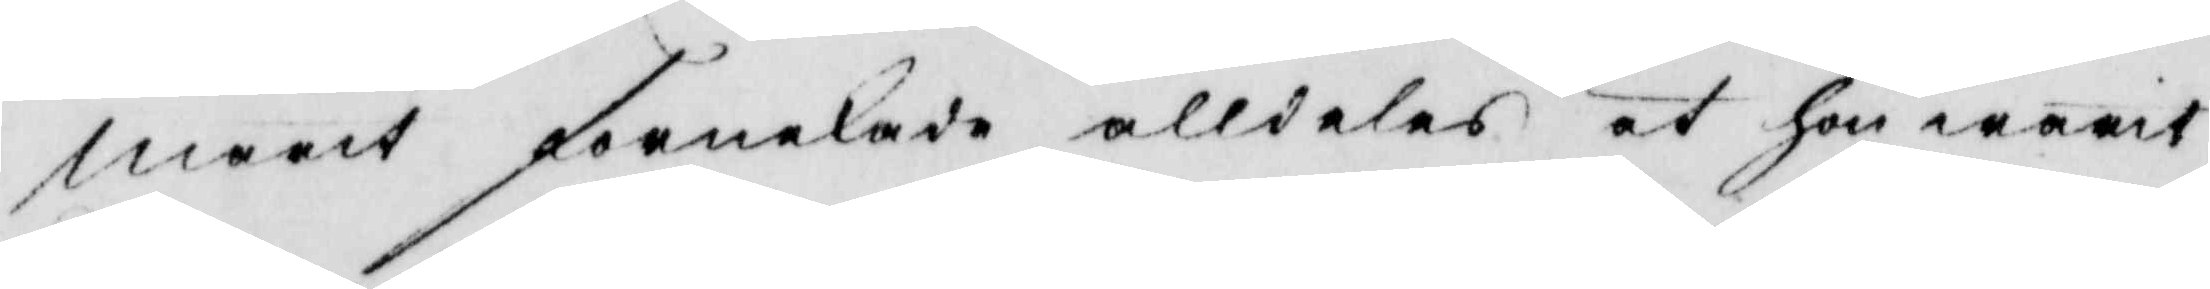Marit förnekade alldeles at hon warit
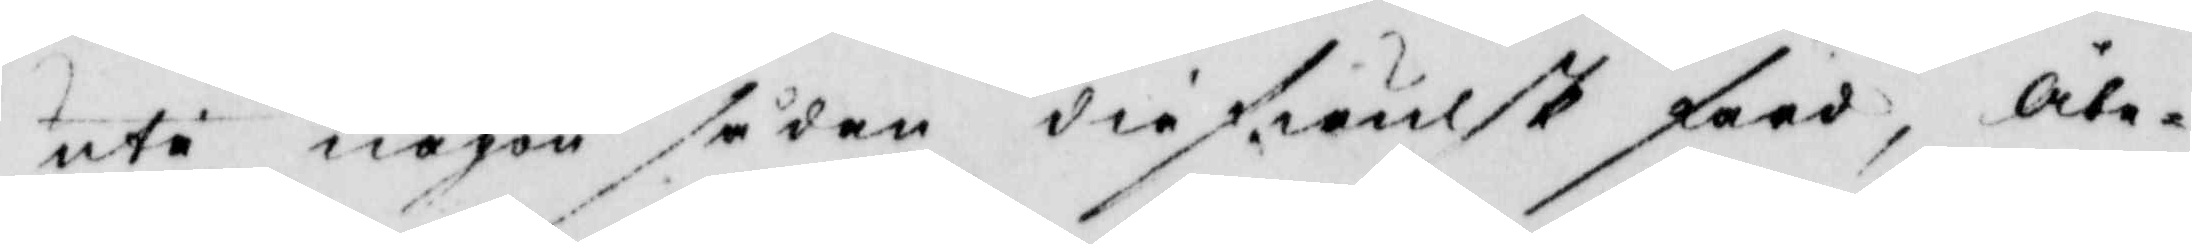ute någon sådan diefwulsk färd, Åbe¬
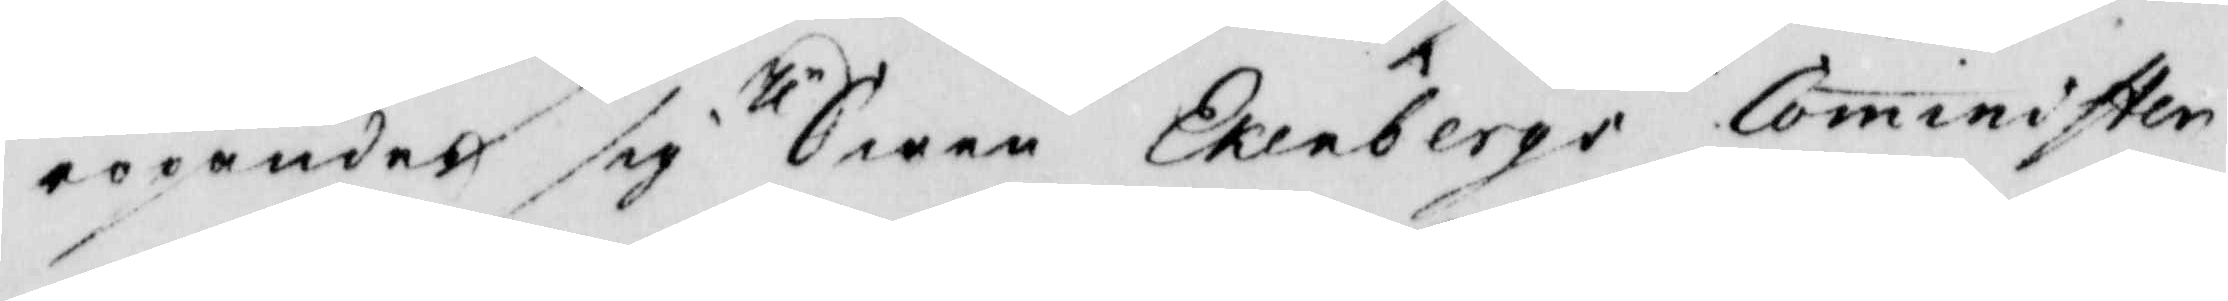ropandes sig hlr Swen Eklebergs Cominister
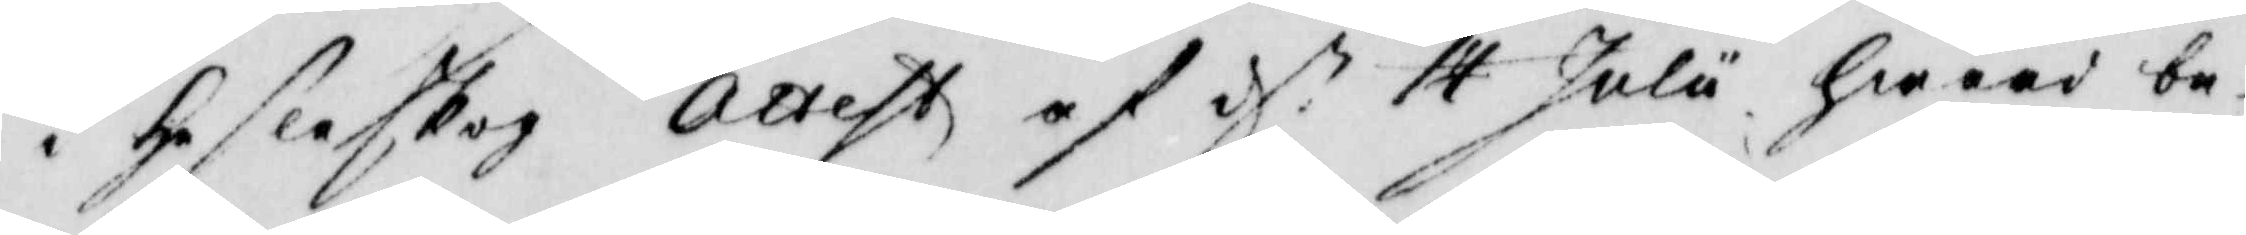i hesleskog Attest af d.n 14 Julu hwaad be¬
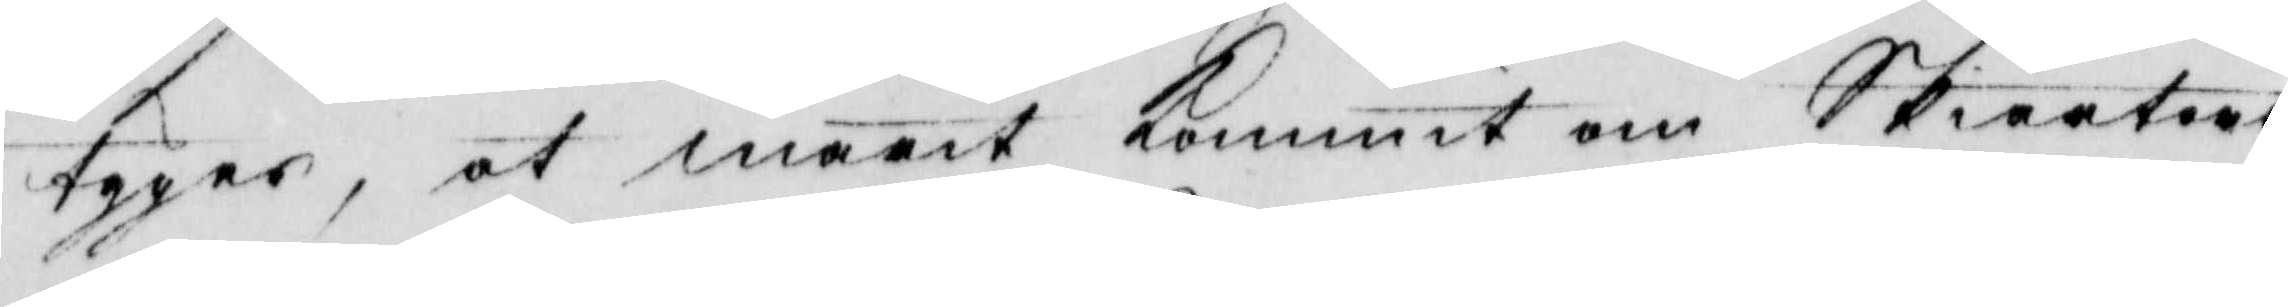tygar, at marit kommit om Skiärtors¬
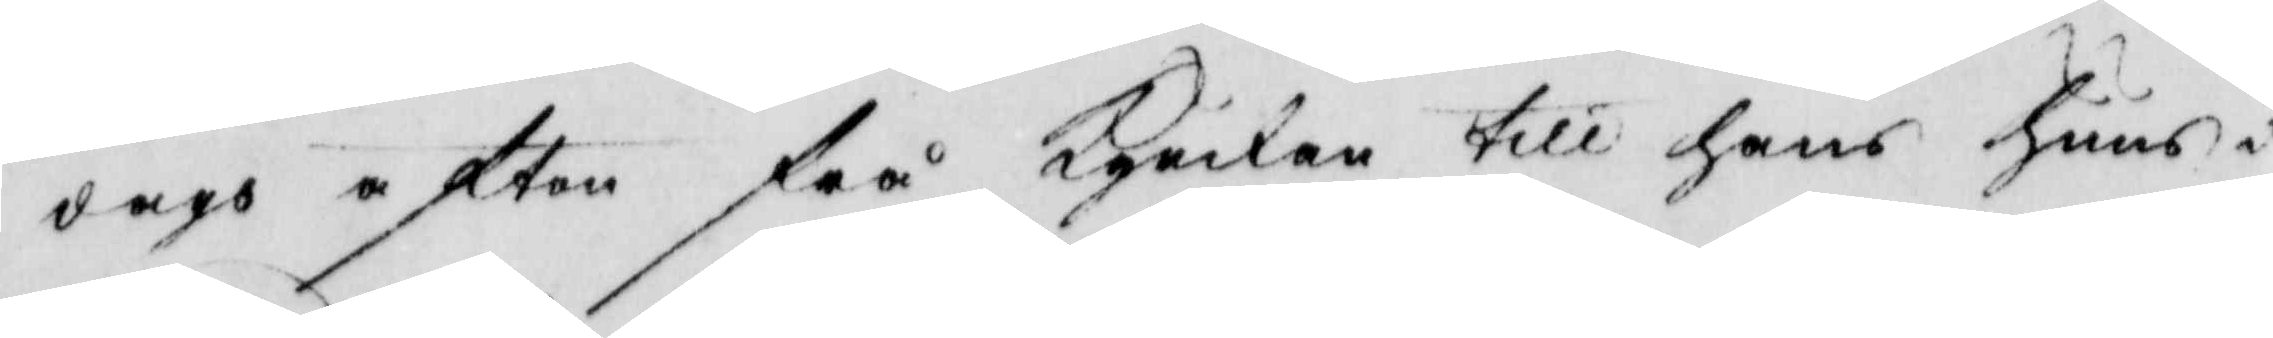dags afton frå kyrkan till hans huus i
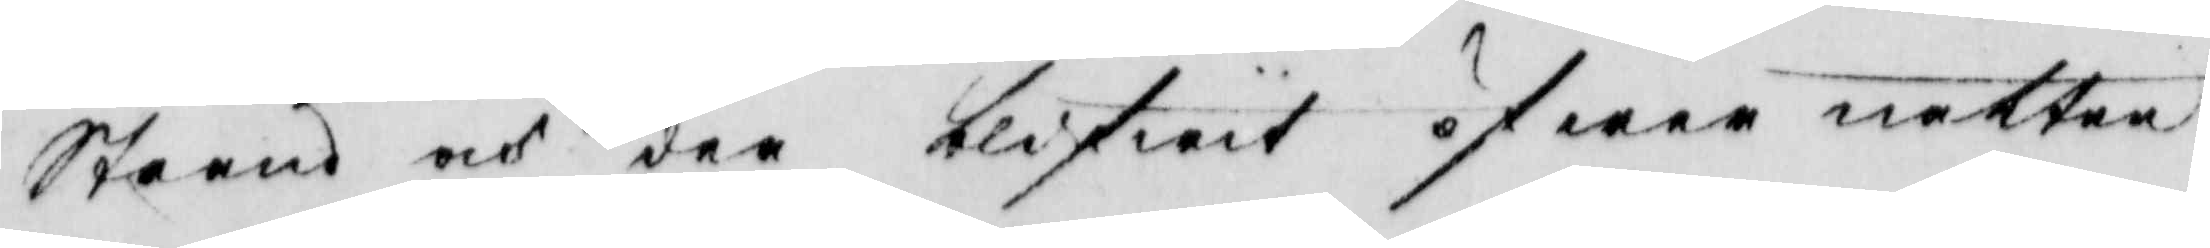Strand och der blifwit öfwer natten
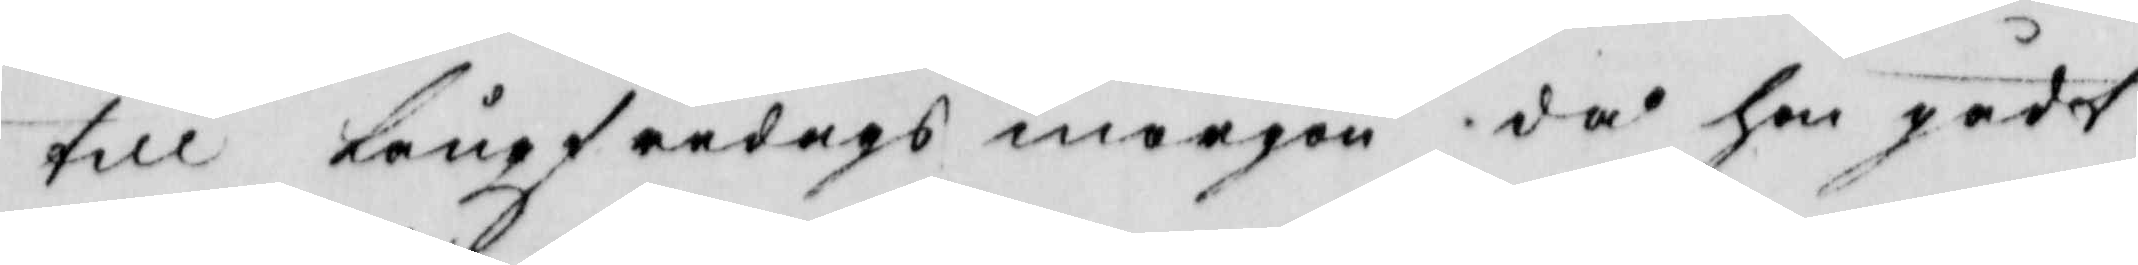till Långfredagsmorgon då hon gådt
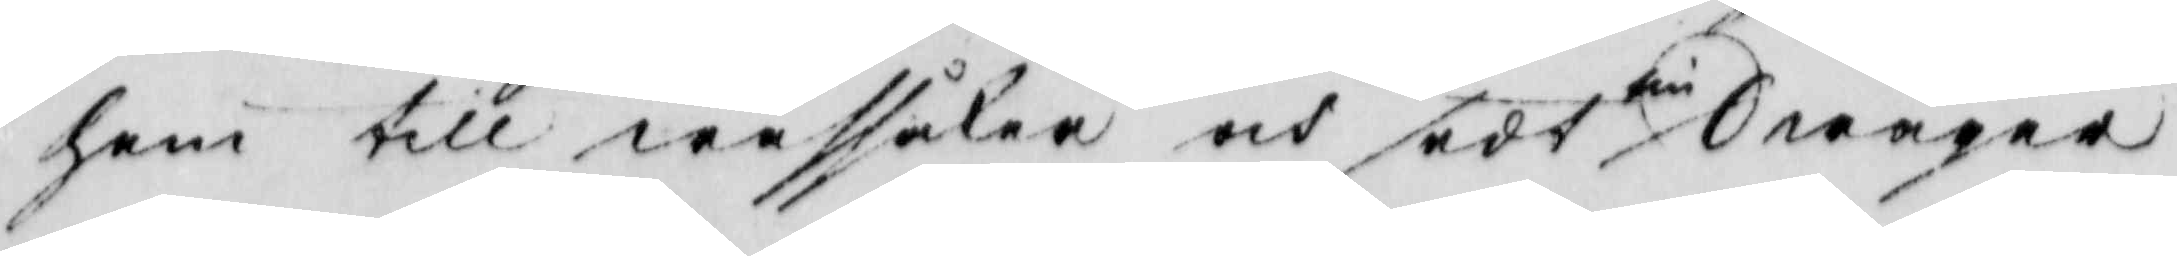hem till wassåker och sedt sin Swåger
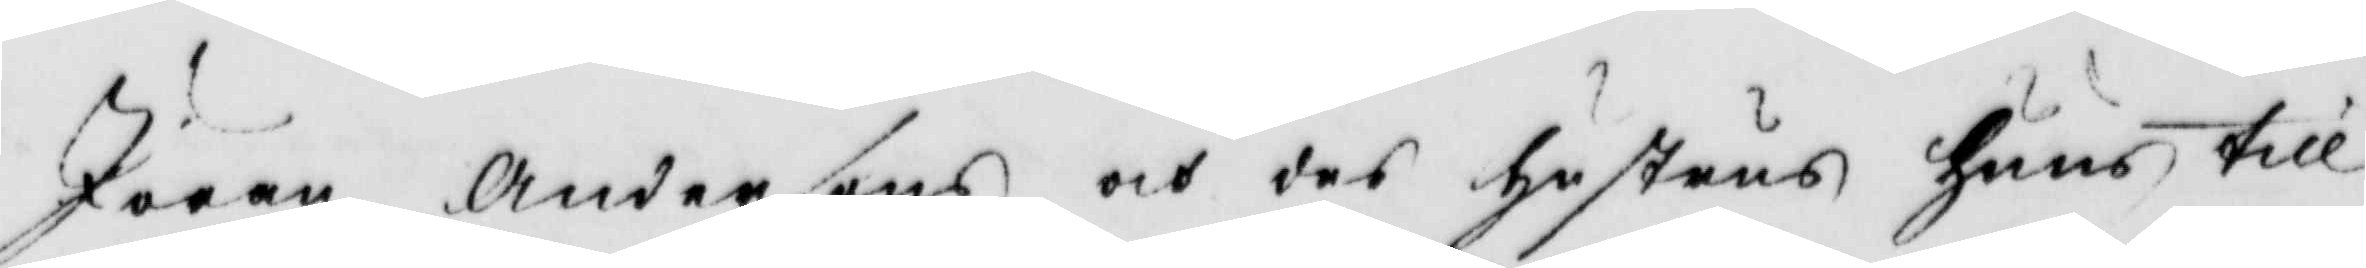Jöran andersons och des hustrus huus till
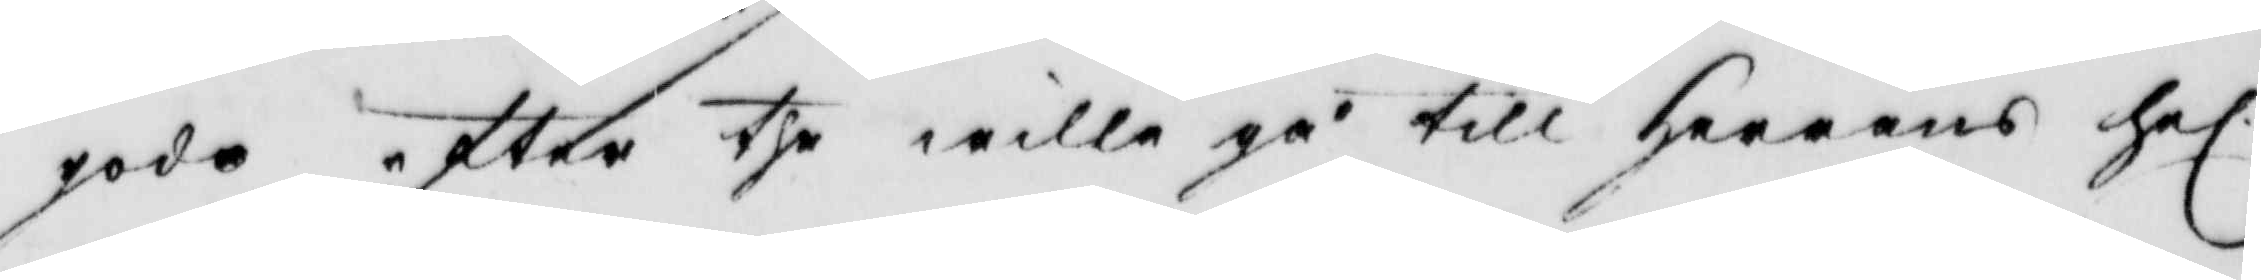gode efter the wille gå till Herrans hel.
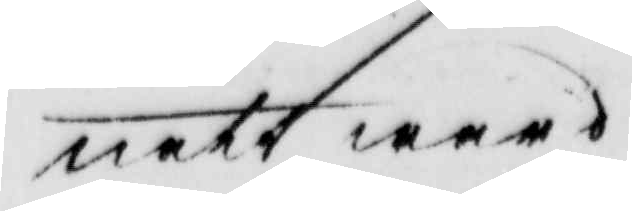nattward.
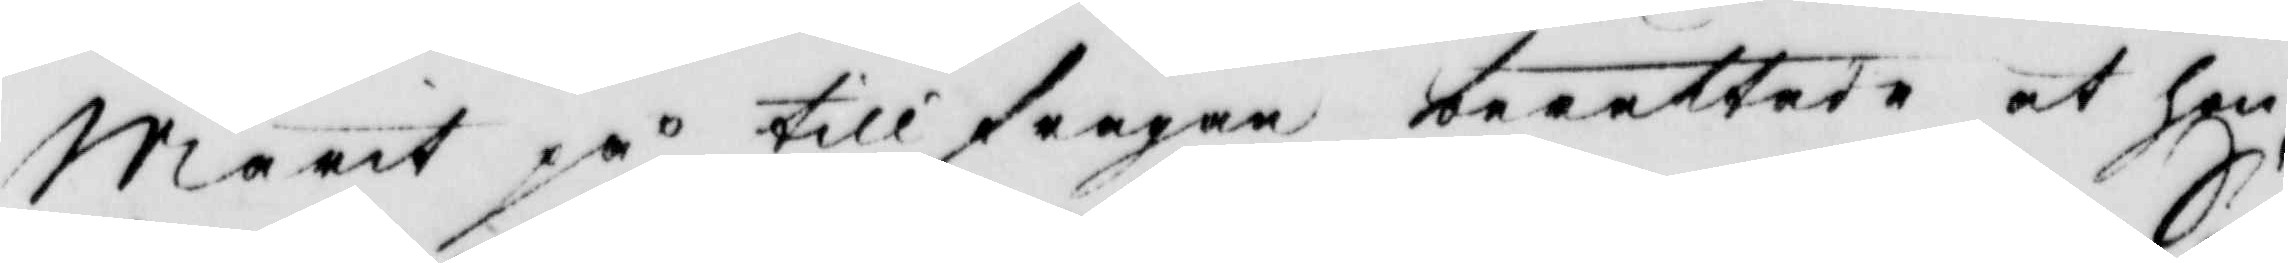Marit på tillfrågan berättade at hon
